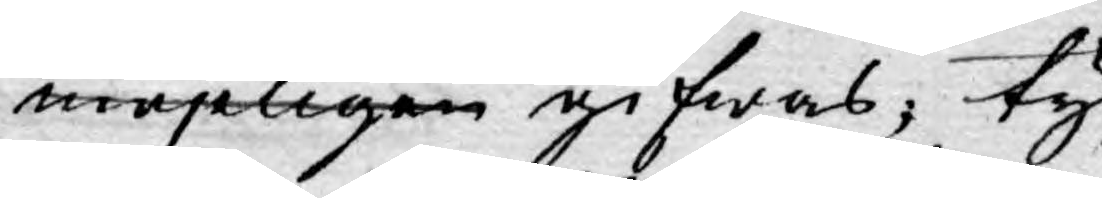möjligen gifwas, ty
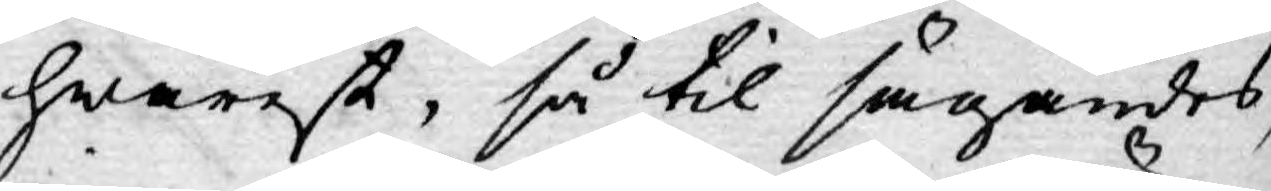hwarest, så til sägandes,
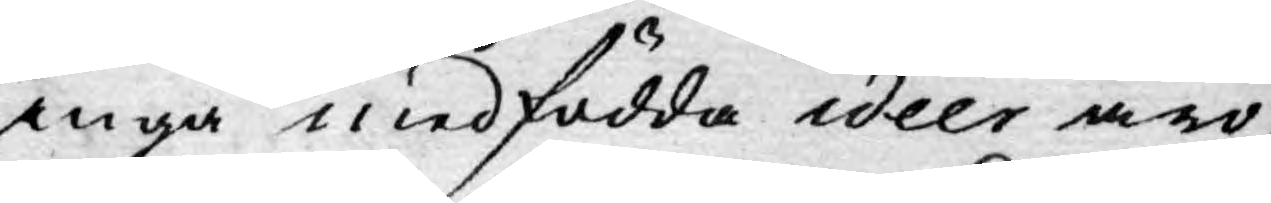inga medfödda ideer äro,
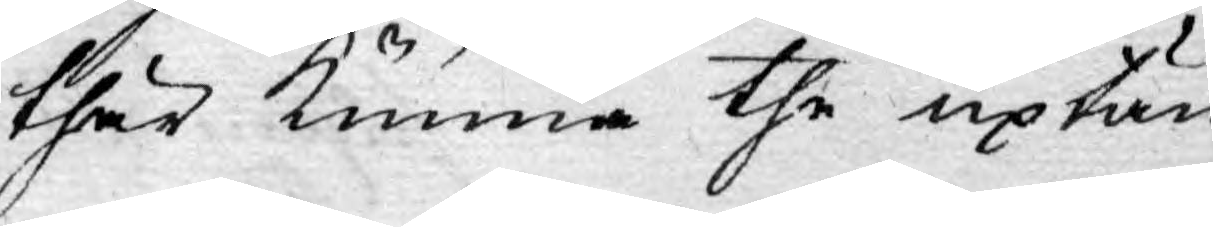thär kunna the uptän¬
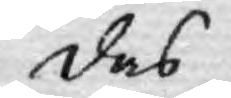das.
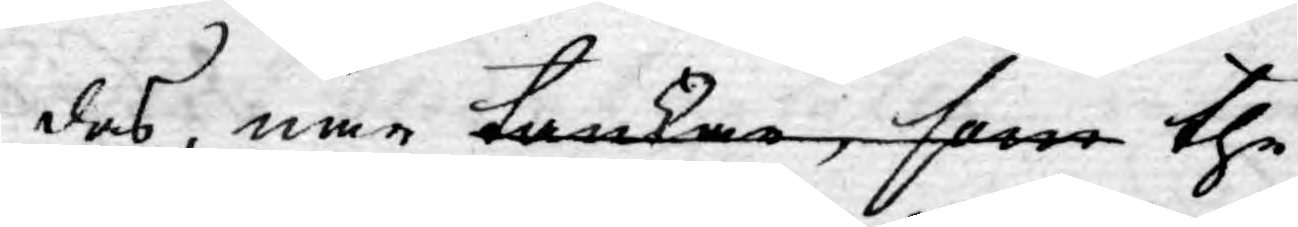das, när tankar, som the
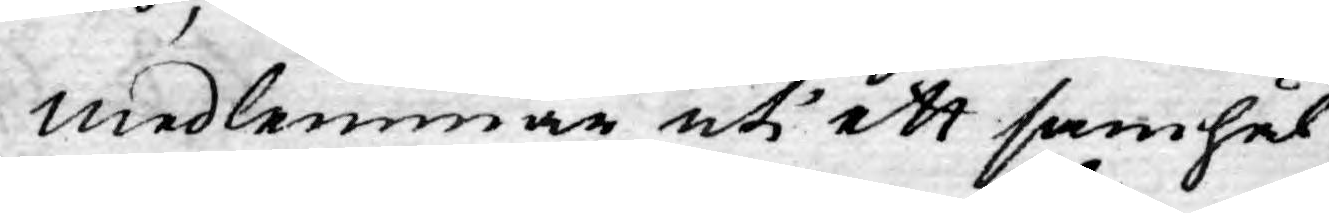medlemmar uti ett samhäl¬
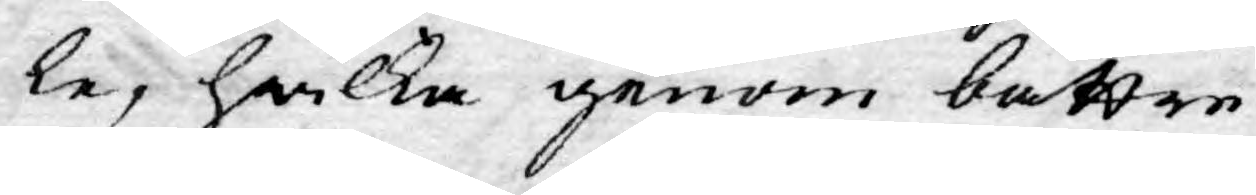le, hwilka genom bättre
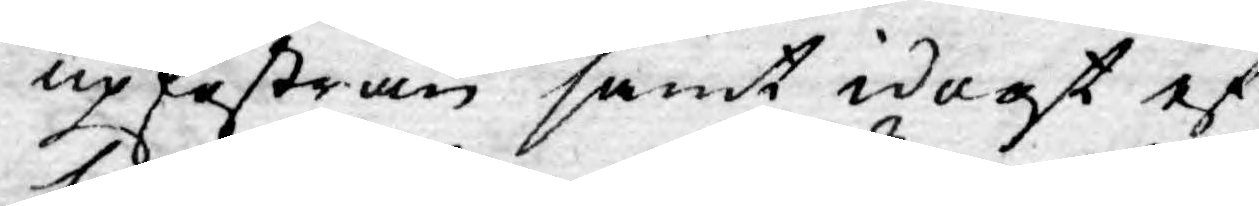upfostran samt idogt ef¬
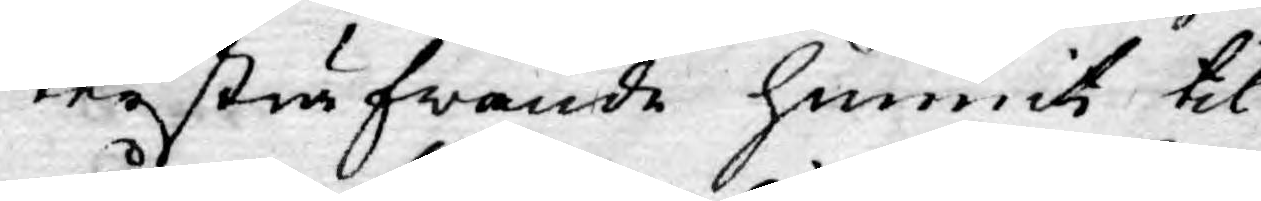tersträfwande hunnit til
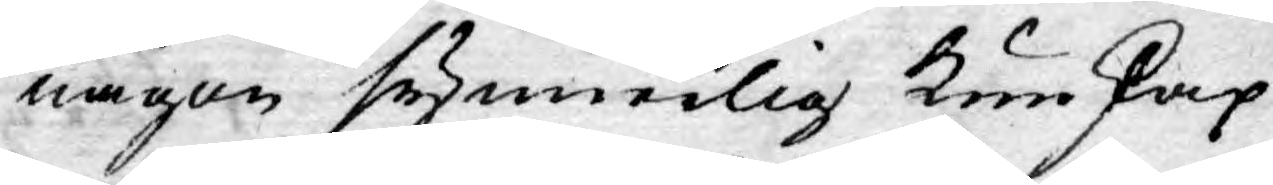någon synnerlig kunskap
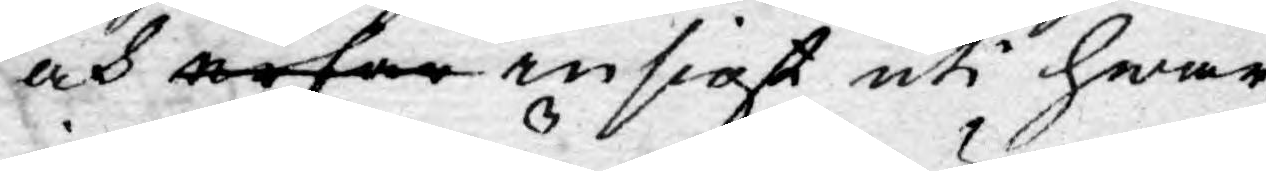och erfar insigt uti hwar¬
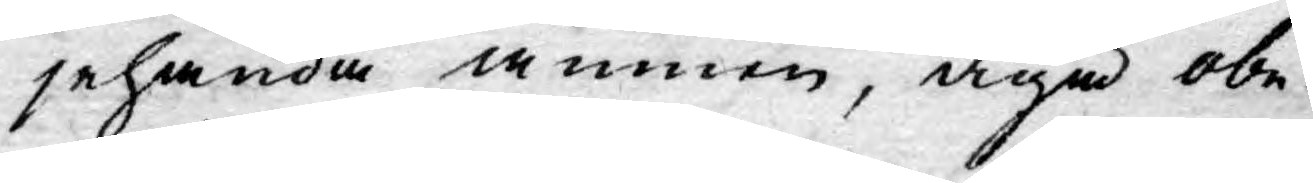jehanda ämnen, äga obe¬
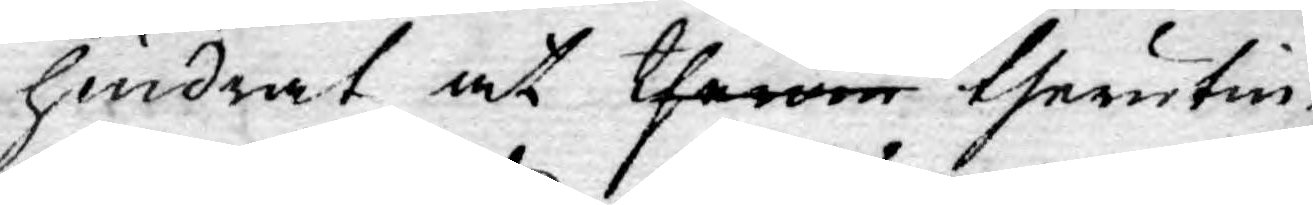hindrat at therom therutin¬
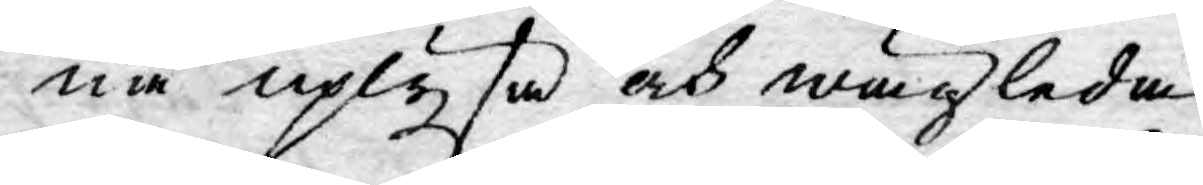ne uplysa och wägleda
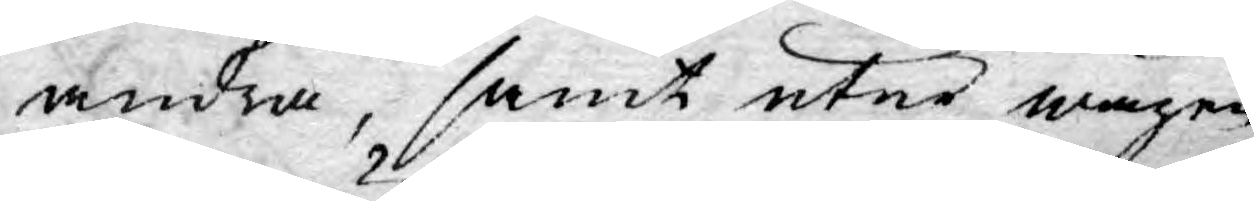andra, samt utur wägen
